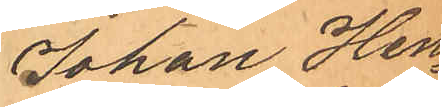Johan Hen¬
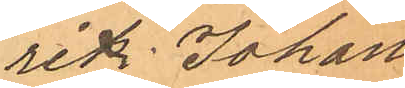rik Johans¬
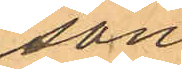son
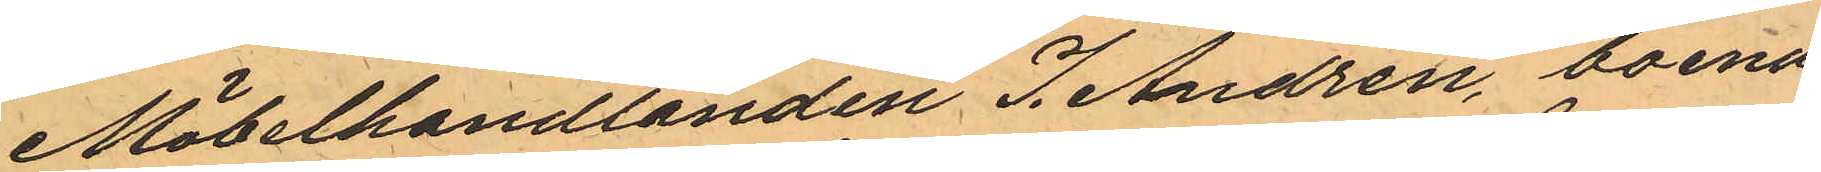Möbelhandlanden J. Andrén, boende
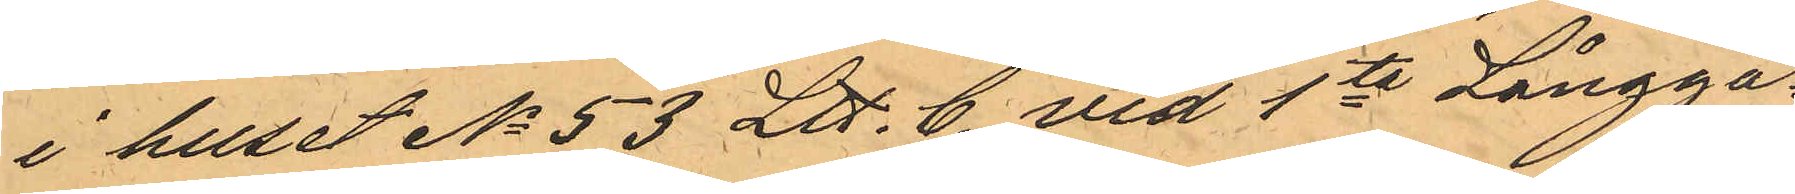i huset No 53 Ltt C. vid 1ta Långga¬
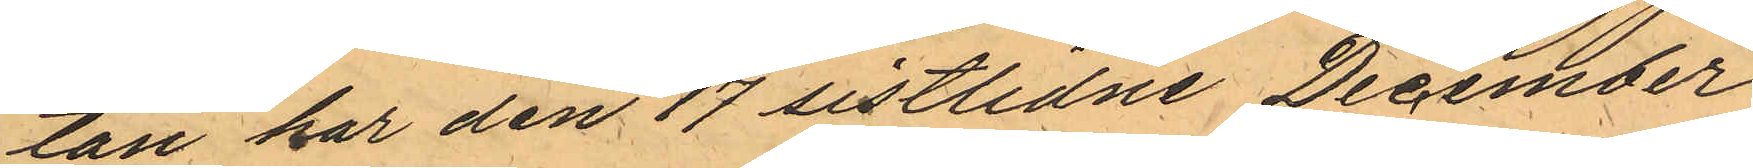tan har den 17 sistlidne December
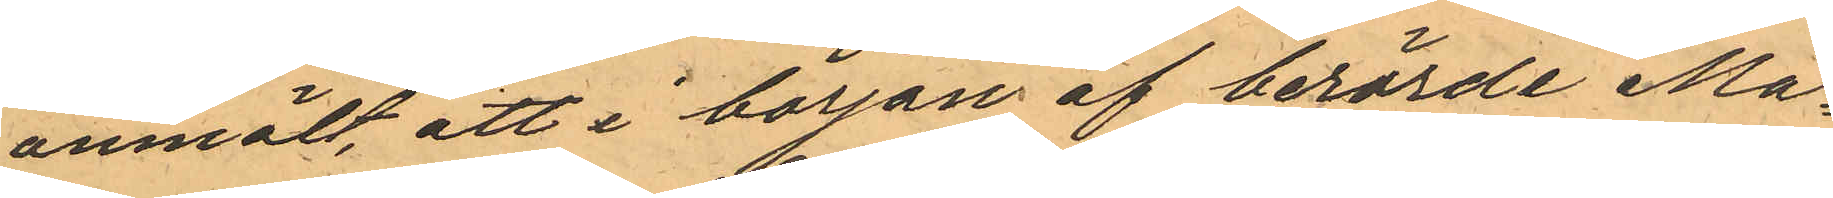anmält att i början af berörde Må¬
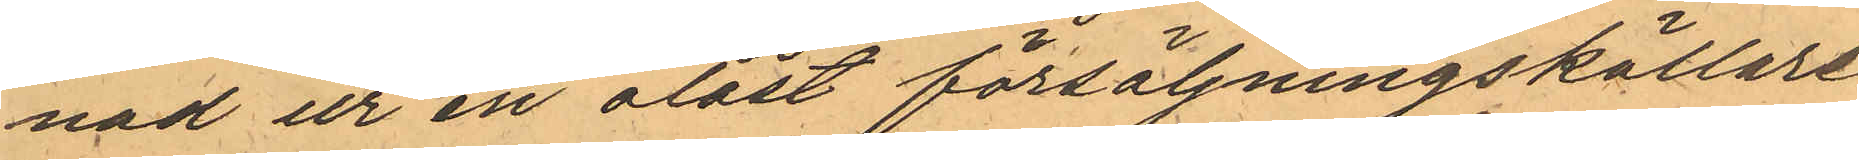nad ur en olåst försäljningskällare
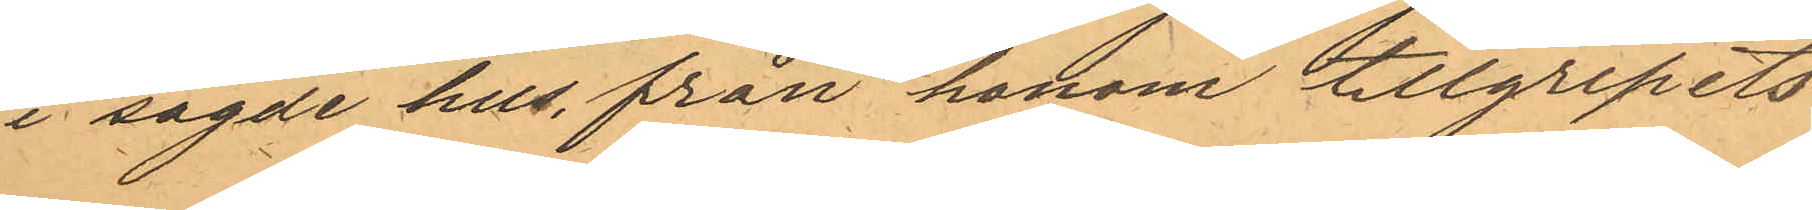i sagde hus, från honom tillgripits
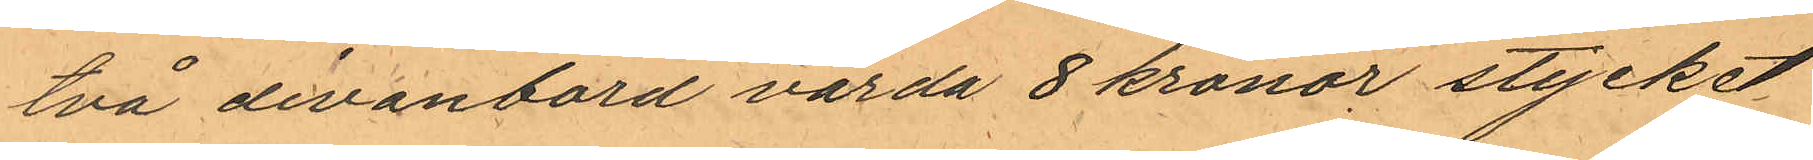två divanbord värde 8 kronor stycket
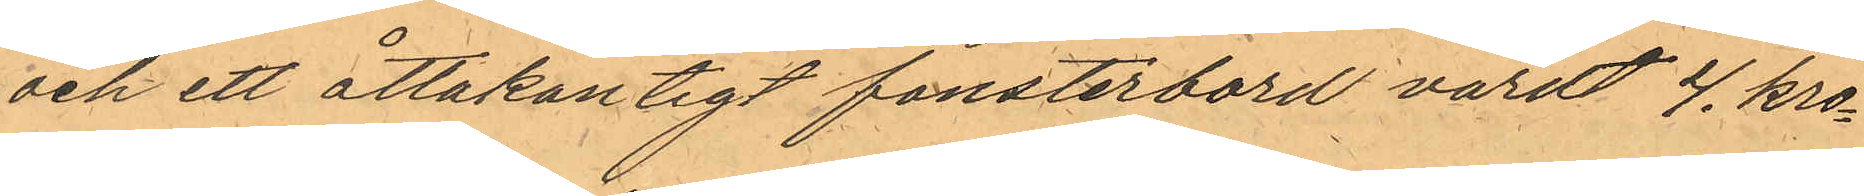och ett åttakantigt fönsterbord värdt 4. kro¬
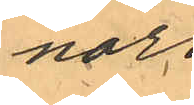nor.
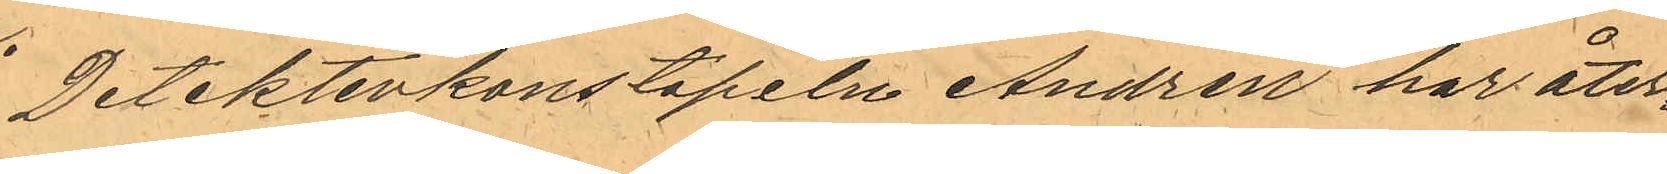Detektivkonstapeln Andrén har åter¬
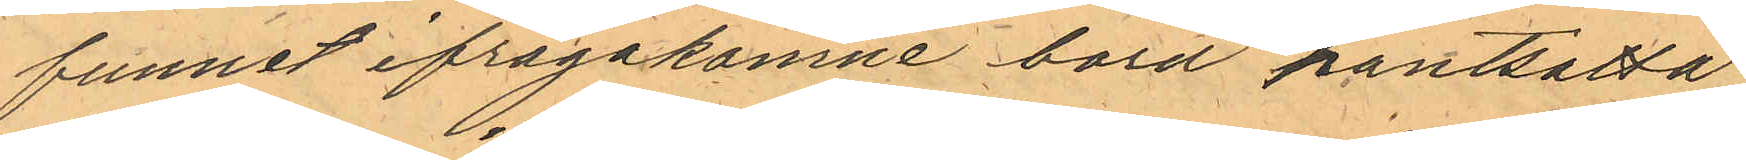funnet ifrågakomne bord pantsatta 
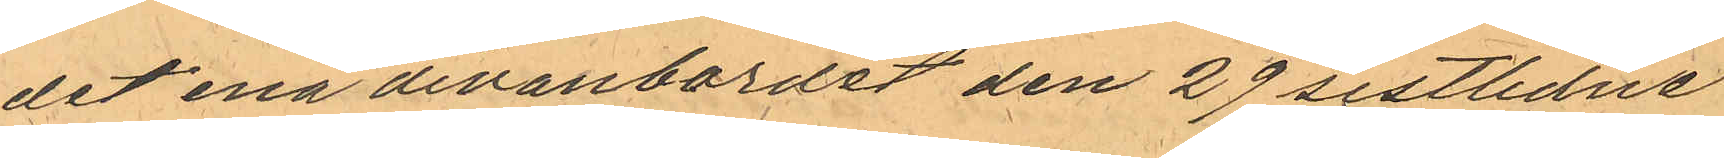det ena divanbordet den 29 sistlidne
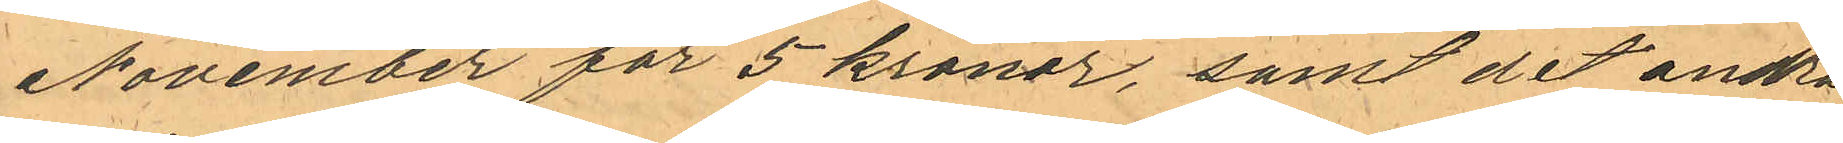November för 5 kronor, samt det andra
